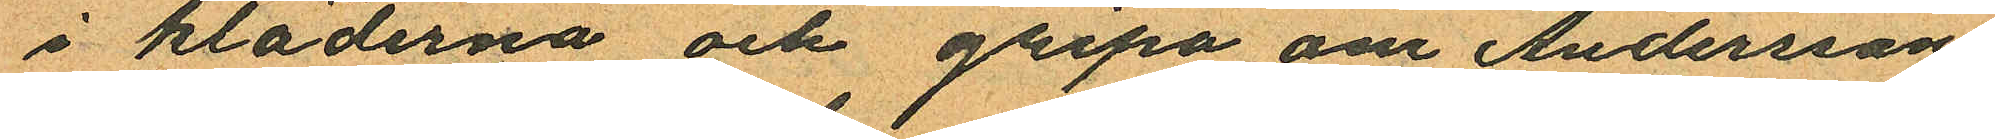i kläderna och gripa om Anderssons
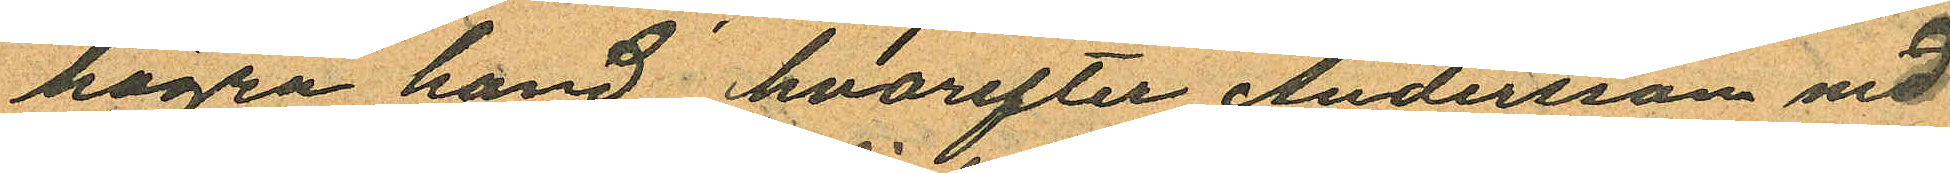högra hand hvarefter Andersson med
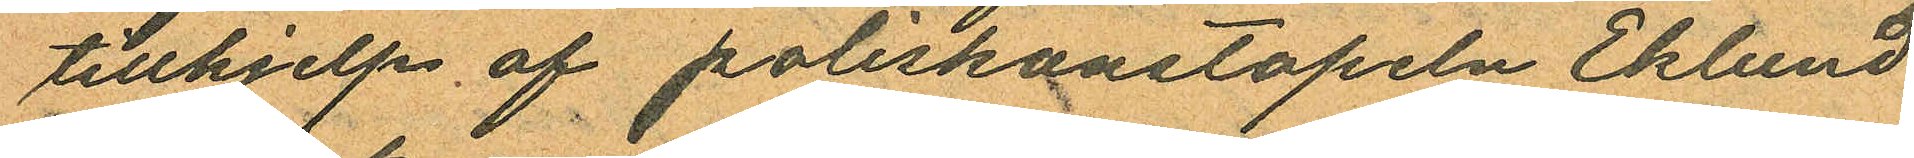tillhjelp af poliskonstapeln Eklund
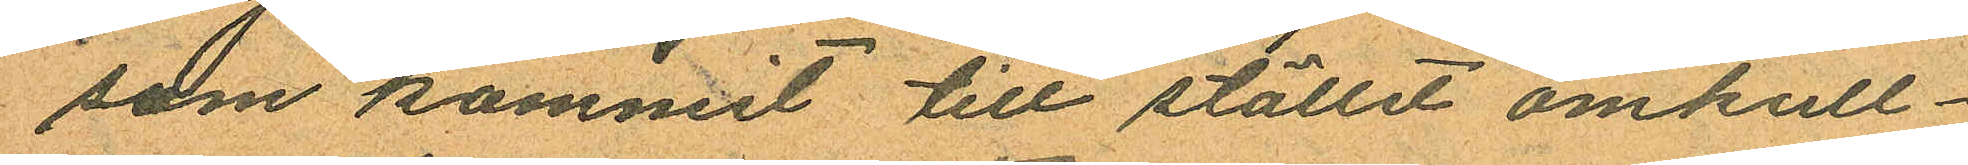som kommit till stället omkull¬
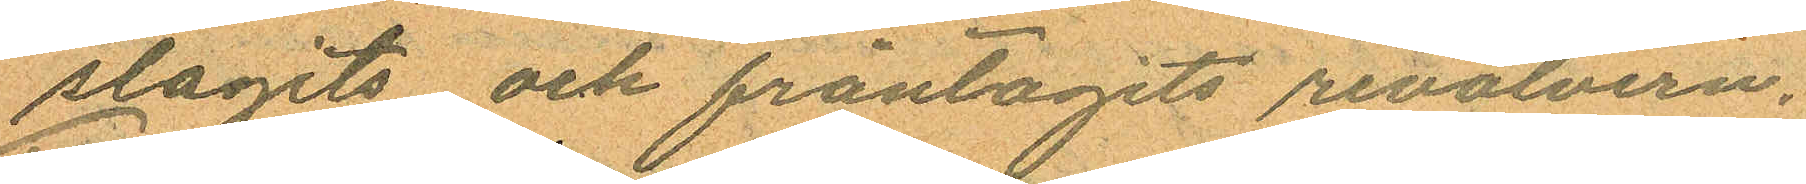slagits och fråntagits revolvern.
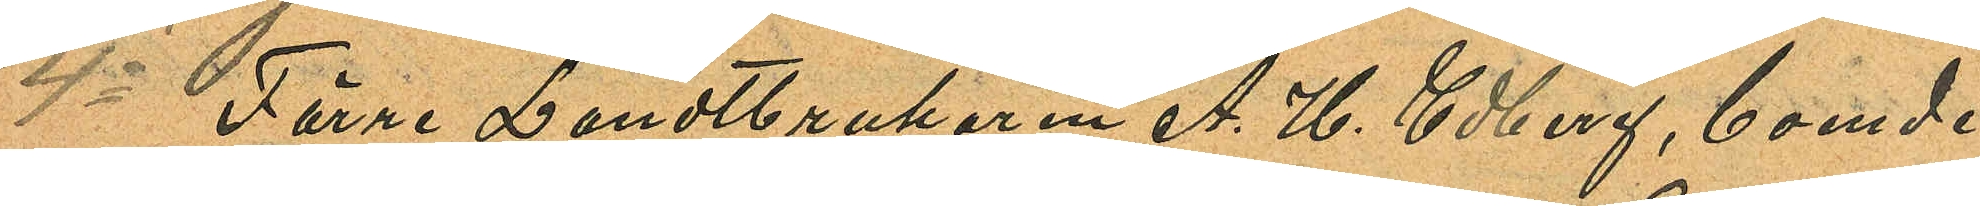4o Förre Landtbrukaren A. H. Edberg, boende
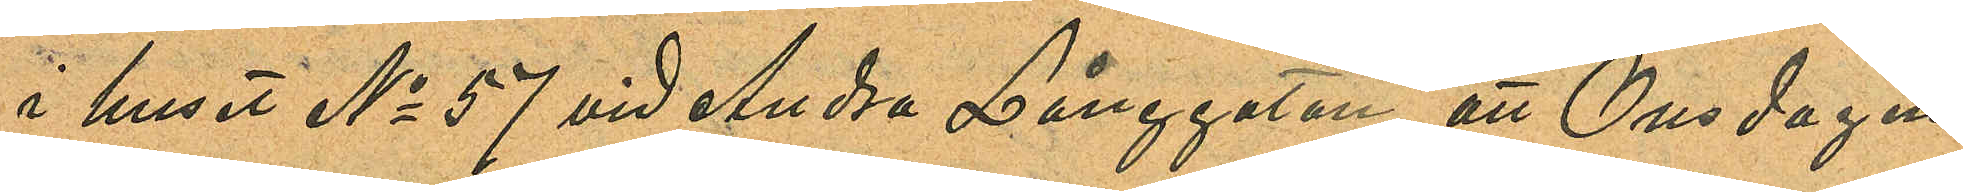i huset No 57 vid Andra Långgatan att Onsdagen
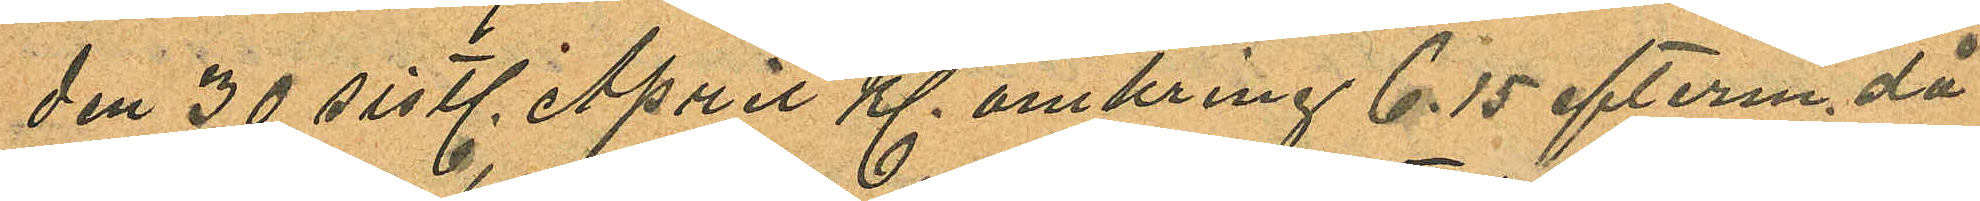den 30 sistl. April Kl. omkring 6.15 efterm. då
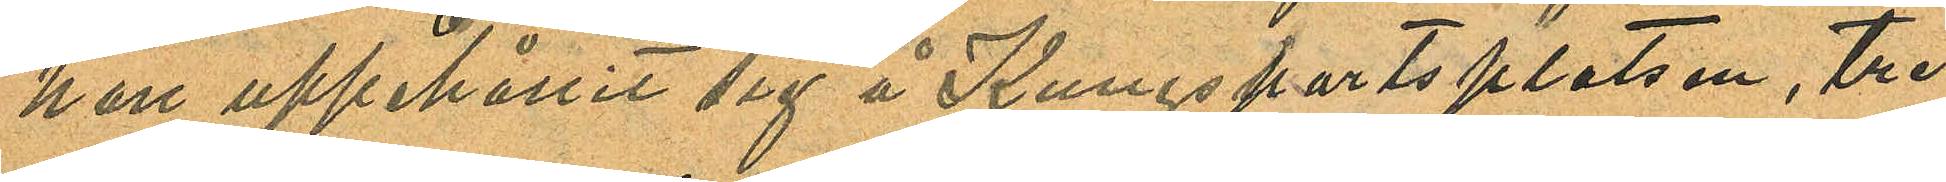han uppehållit sig å Kungsportsplatsen, tre
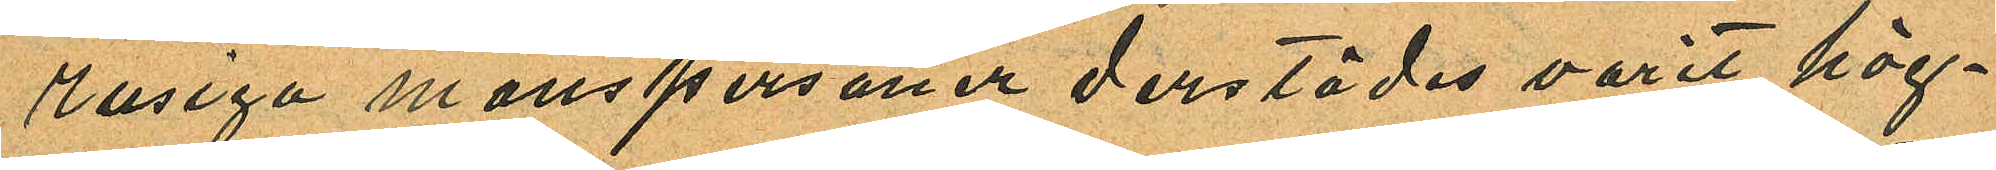rusiga manspersoner derstädes varit hög¬
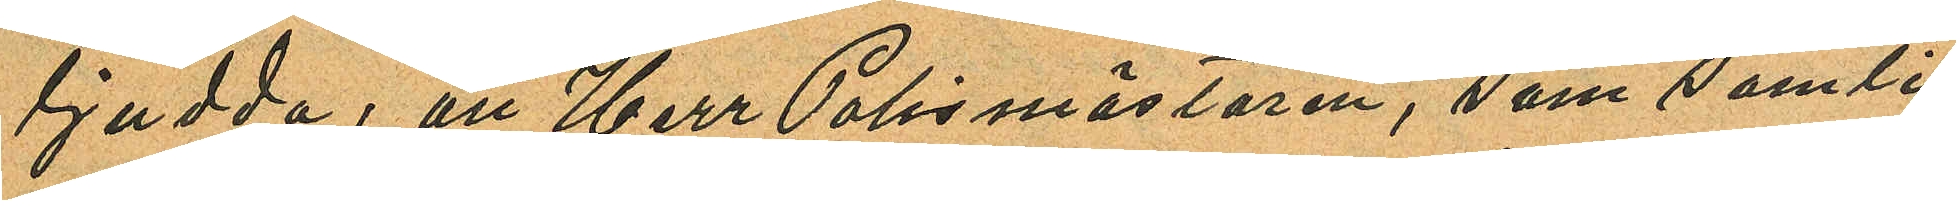ljudda, att Herr Polismästaren, som samti¬
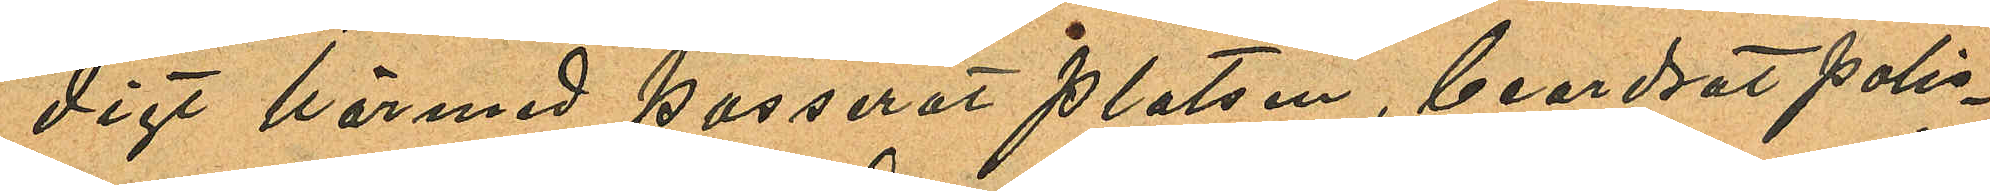digt härmed passerat platsen, beordrat polis¬
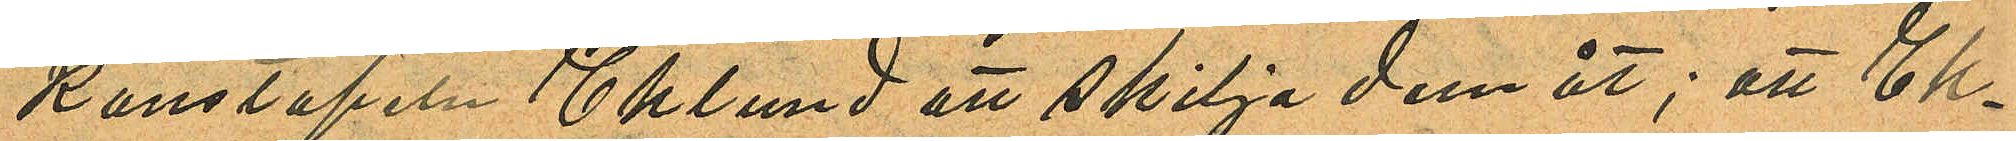konstapeln Eklund att skilja dem åt; att Ek¬
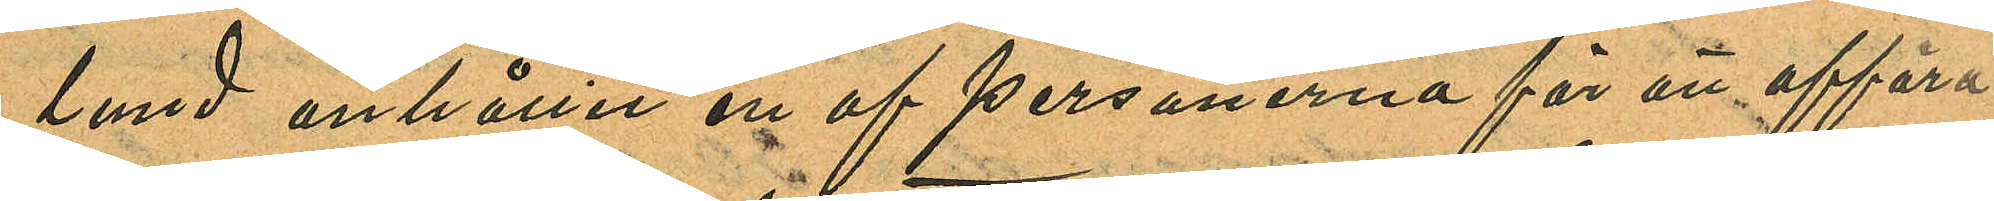lund anhållit en af personerna för att afföra
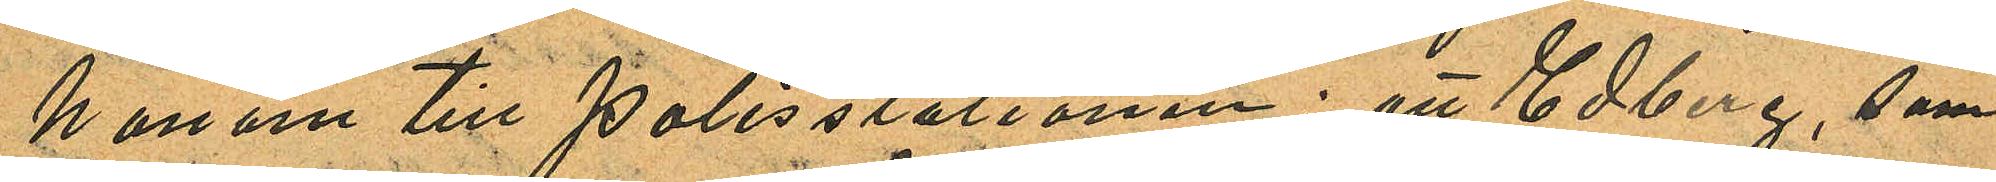honom till polisstationen; att Edberg, som
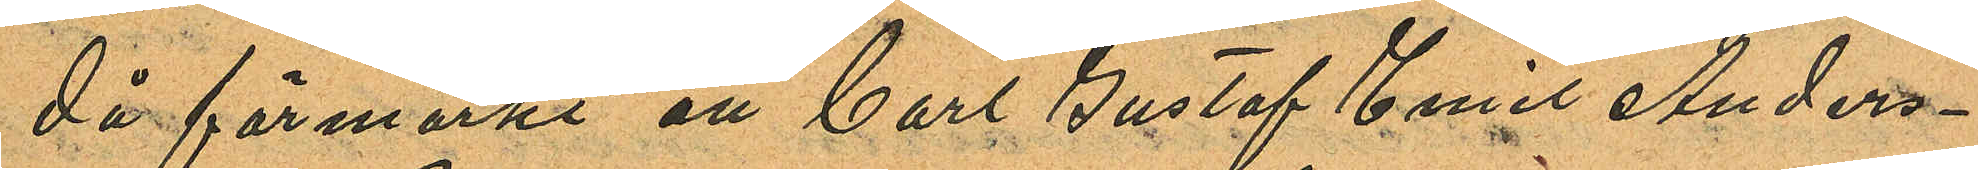då förmärkt att Carl Gustaf Emil Anders¬
